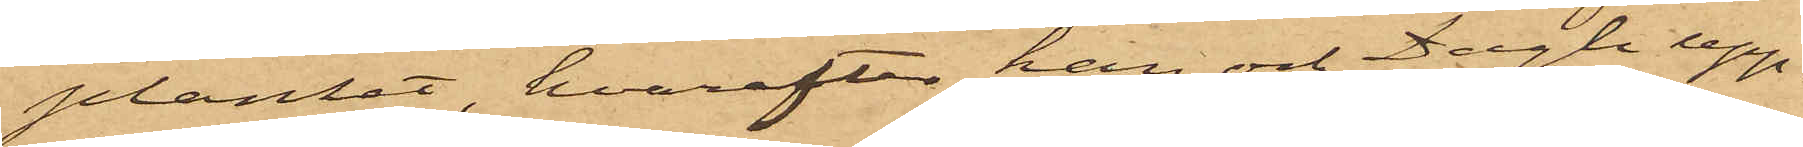planket, hvarefter han och Dagh upp¬
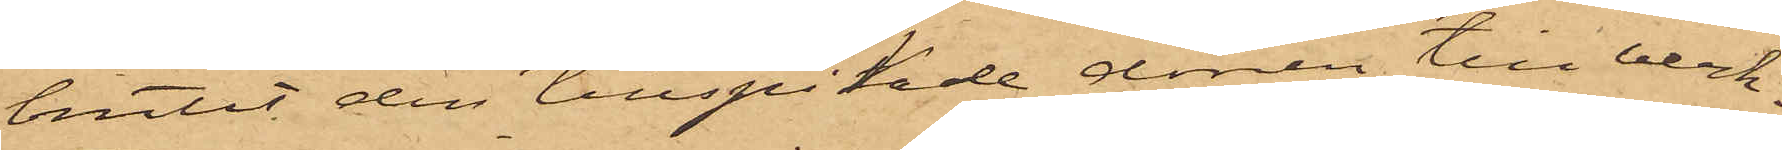brutit den tillspikade dörren till verk¬
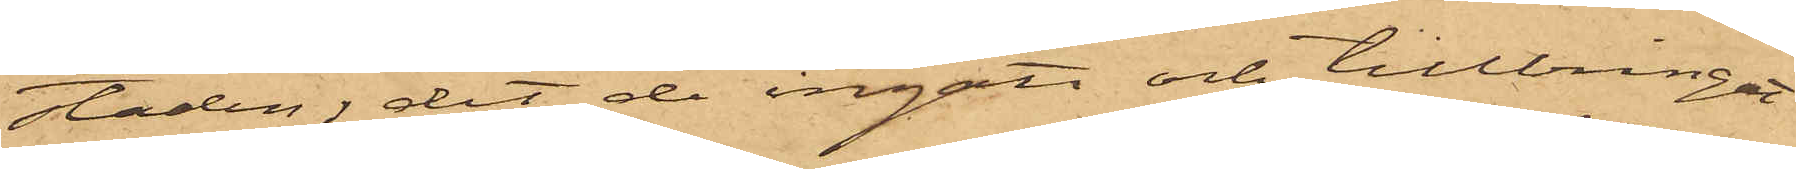staden, dit de ingått och tillbringat
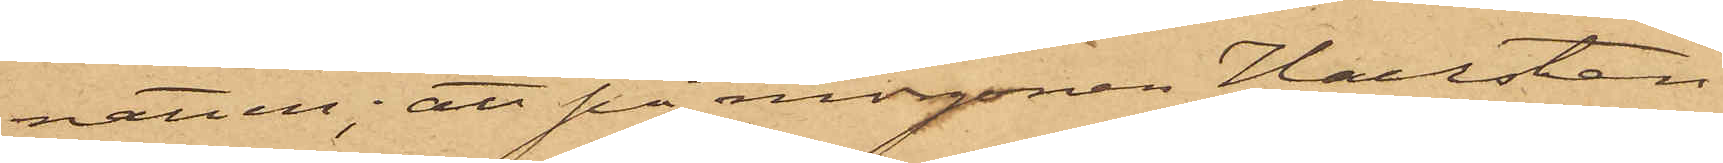natten; att på morgonen Hallsten
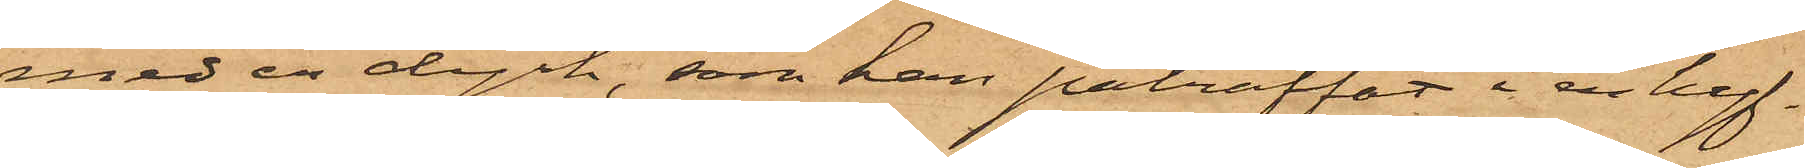med en dyrk, som han påträffat i en hyf¬
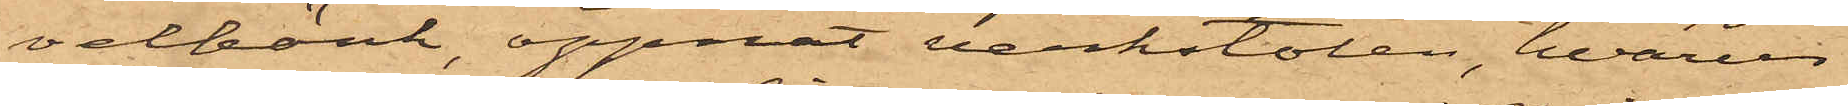velbänk, öppnat verkstolen, hvarur
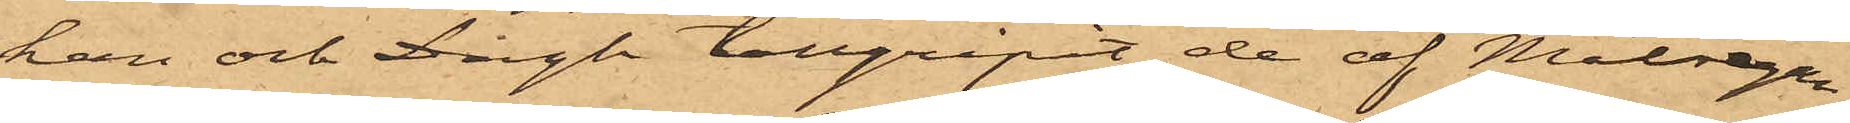han och Dagh tillgripit de af Målsegande¬
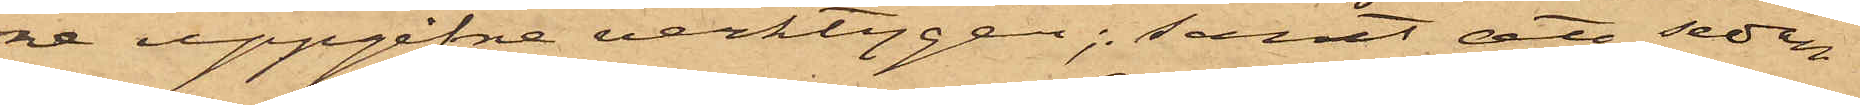na uppgifne verktygen; samt att sedan
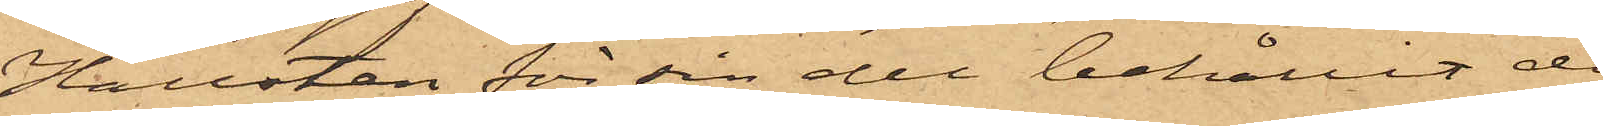Hallsten för sin del behållit de i
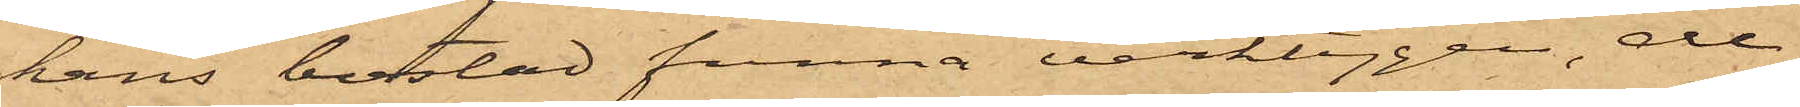hans bostad funna verktygen, de
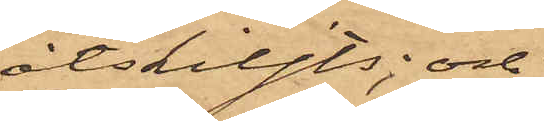åtskiljts; och
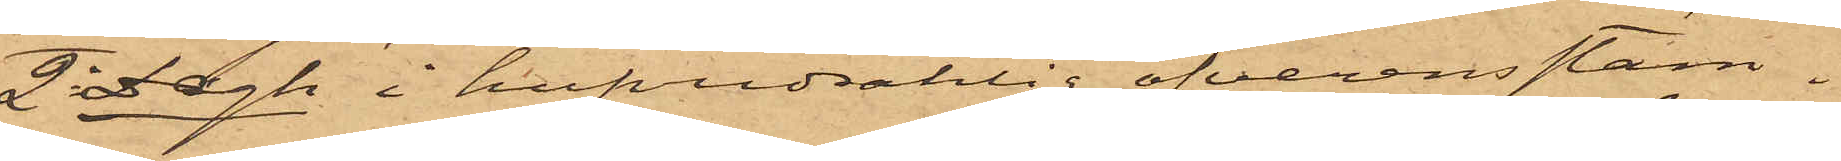2o Dagh i hufvudsaklig öfverensstäm¬
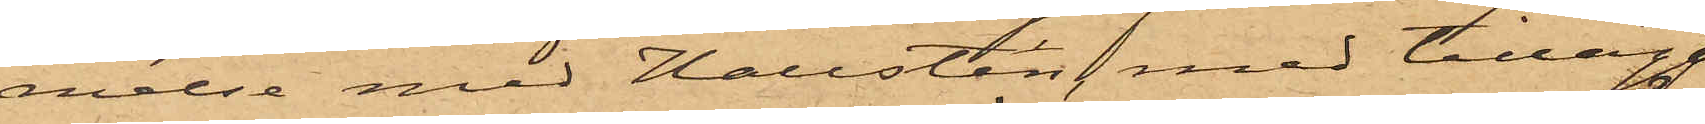melse med Hallsten med tillägg
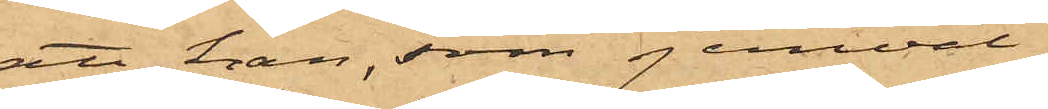att han, som jemväl
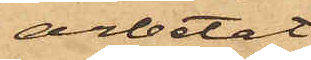arbetat
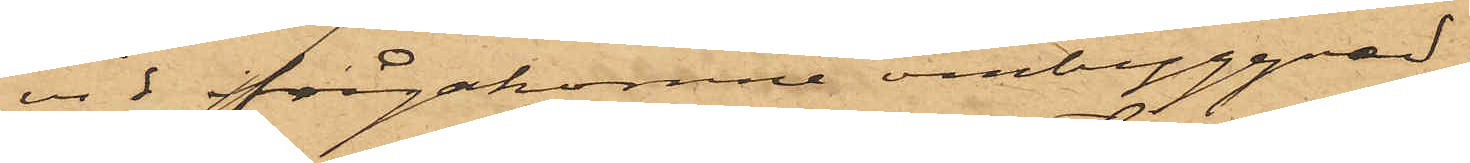vid ifrågakomne ombyggnad,
